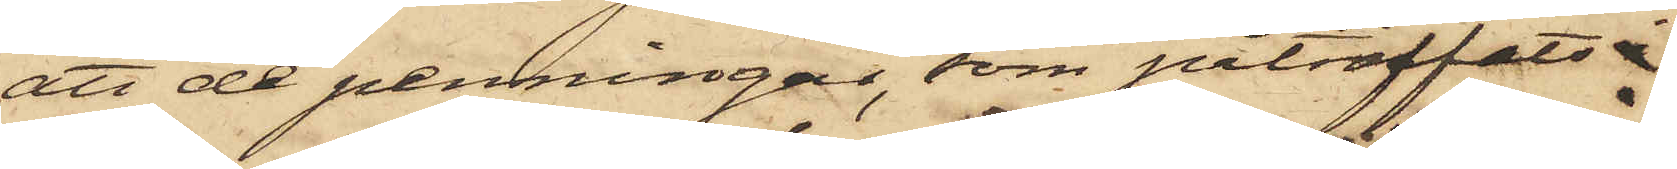att de penningar, som påträffats i
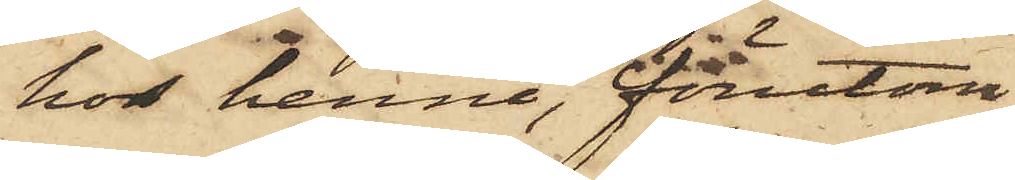hos henne, förutom
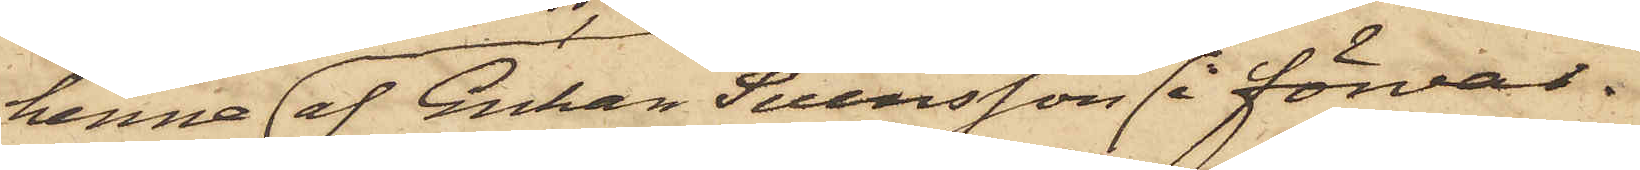henne i förvar.
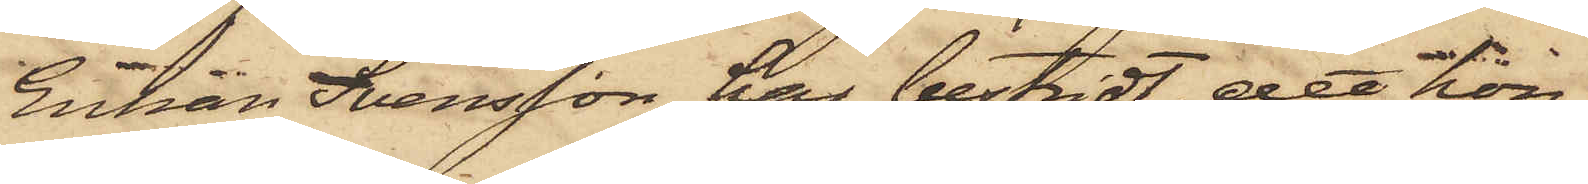Enkan Svensson har bestridt, att hon
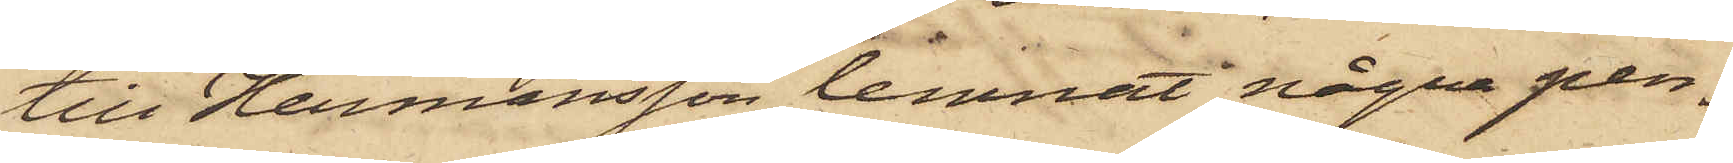till Hermansson lemnat några pen¬
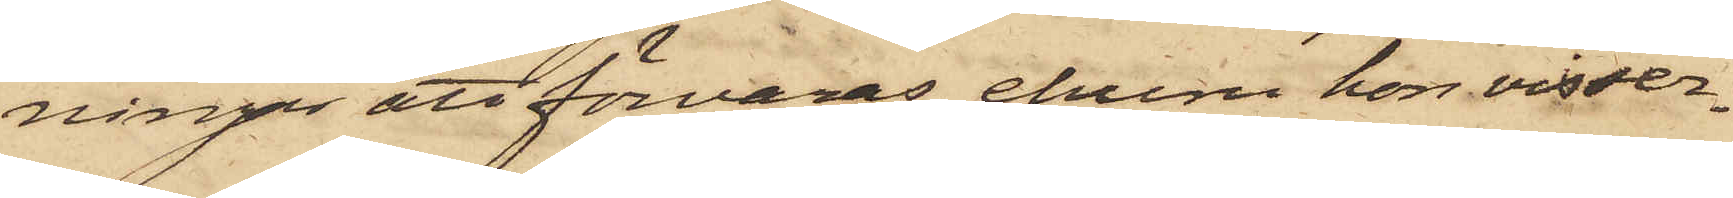ningar att förvaras, ehuru hon visser¬
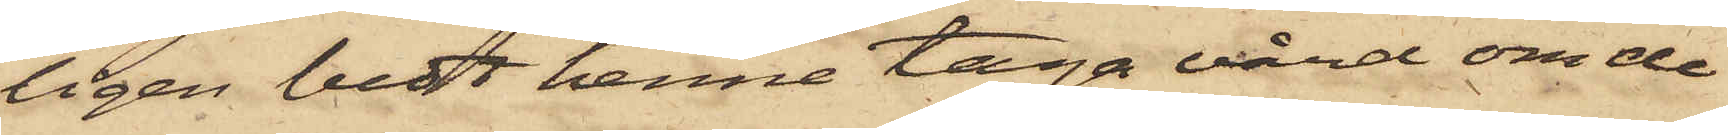ligen bedt henne taga vård om de
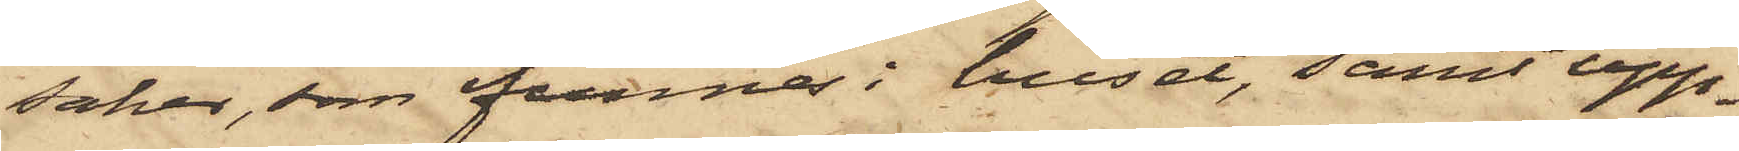saker, som funnes i huset, samt upp¬
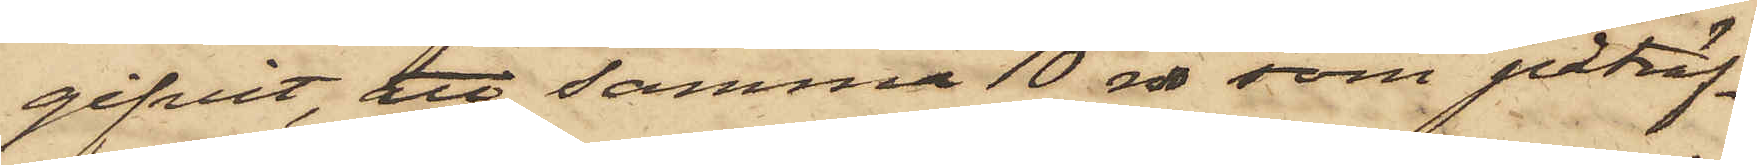gifvit, att samma 10 rdr, som påträf¬
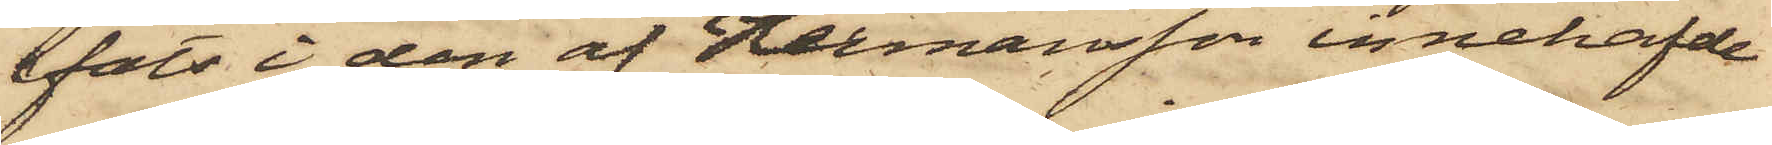fats i den af Hermansson innehafde
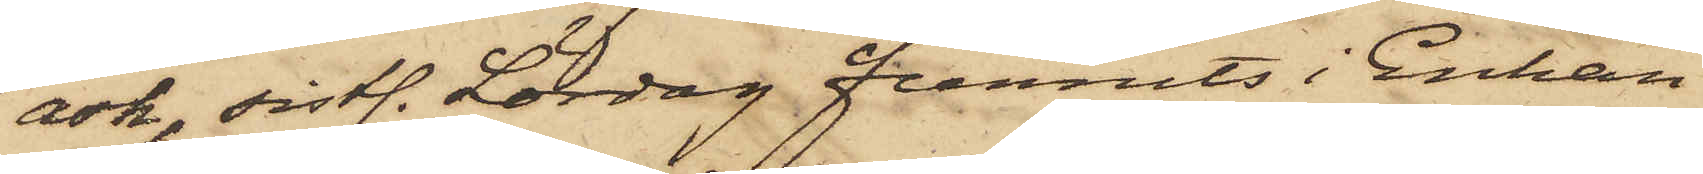ask, sistl. Lördag funnits i Enkan
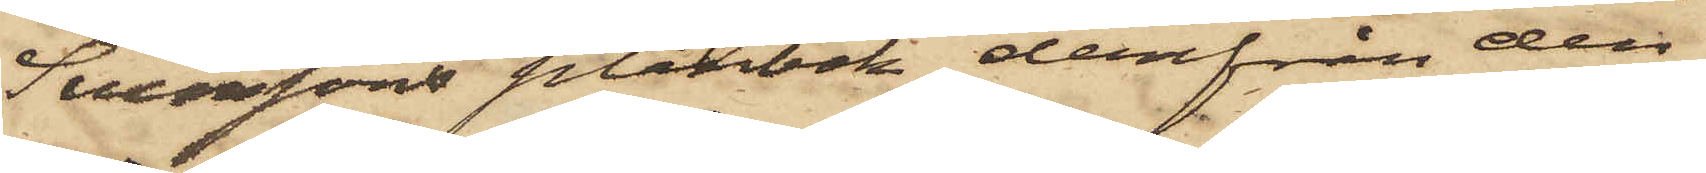Svenssons plånbok, derifrån den
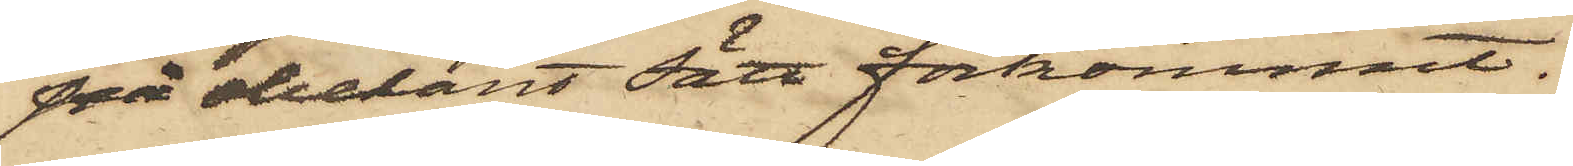på obekant sätt förkommit.
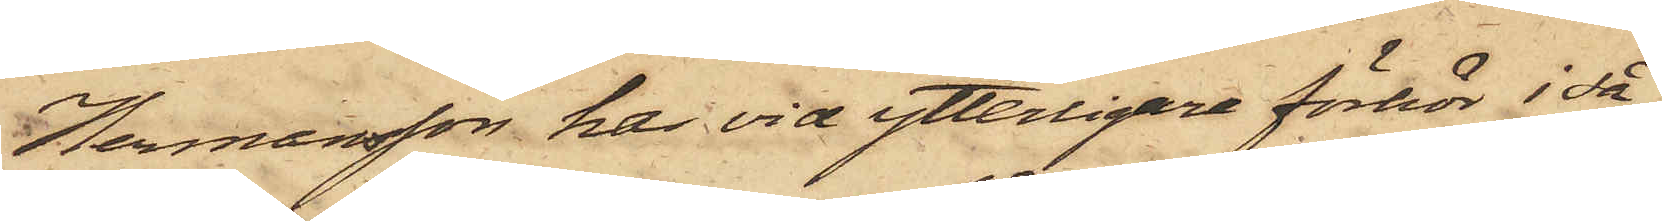Hermansson har vid ytterligare förhör i så
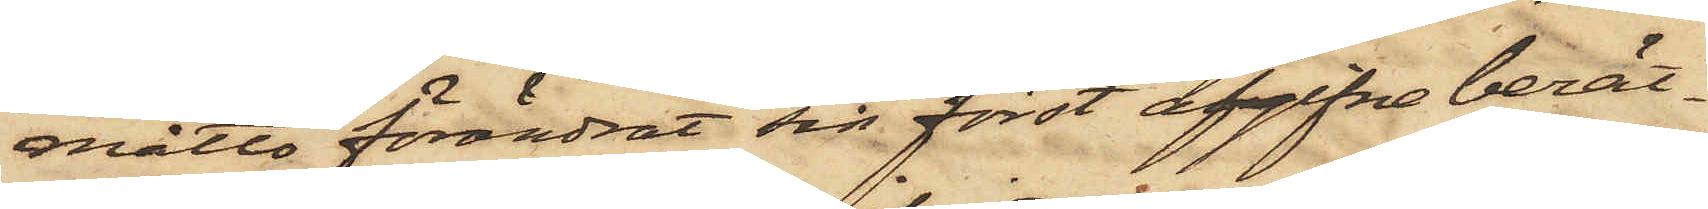måtto förändrat sin först afgifne berät¬
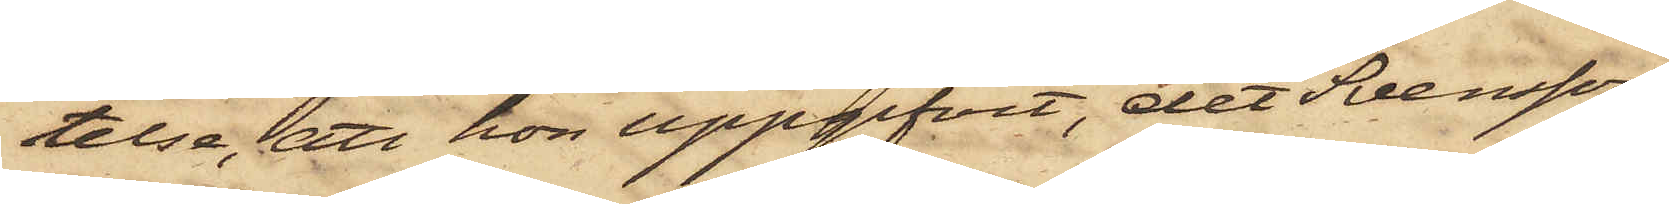telse, att hon uppgifvit, det Svensson
